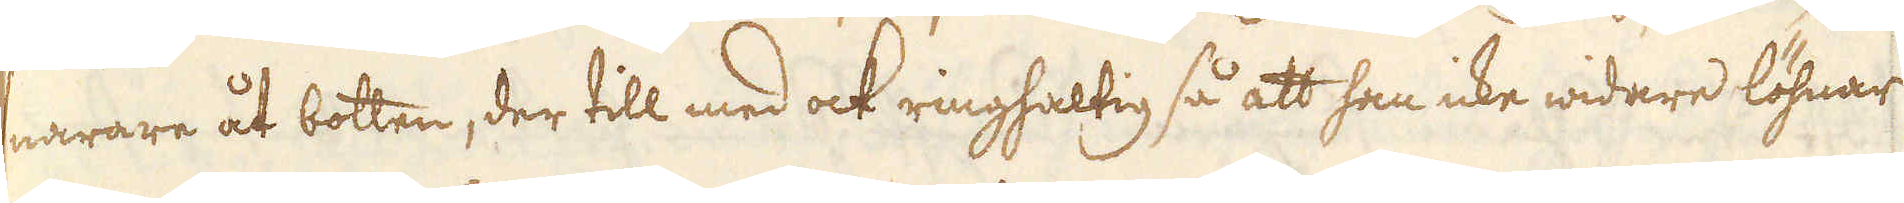snarare åt botten, der till med ock ringhaltig så att han icke widare löhnar
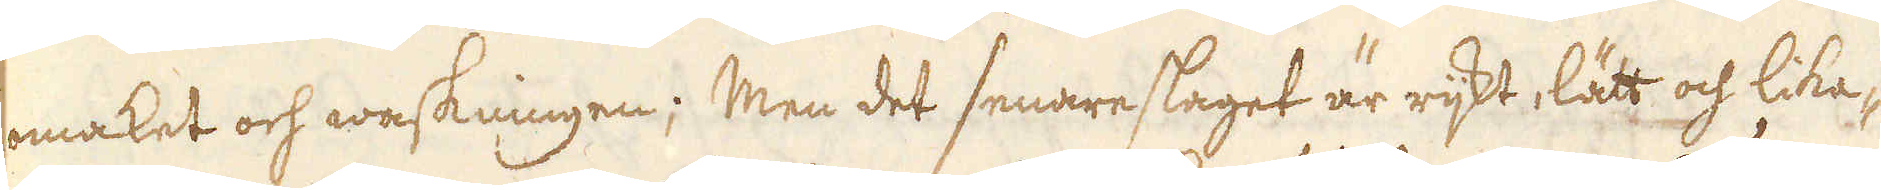omaket och waskningen; Men det senare slaget är rijkt, lätt och lika-
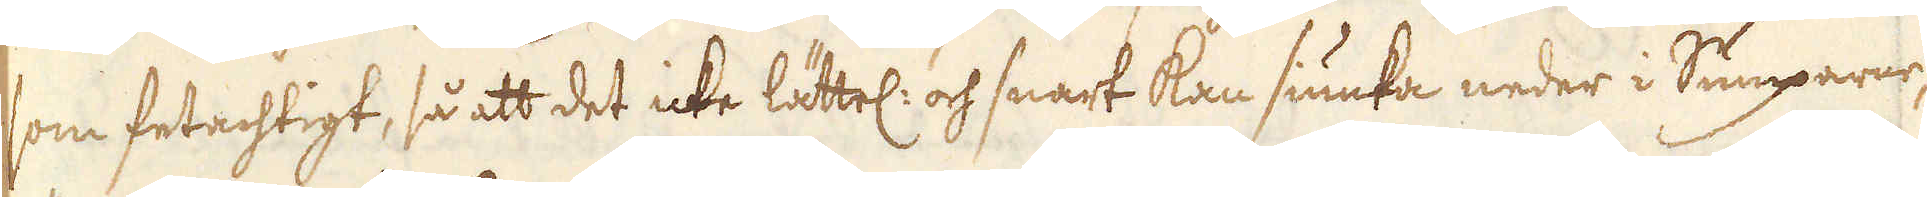som fetachtigt, så att det icke lättel: och snart kan siunka neder i Sumparne,
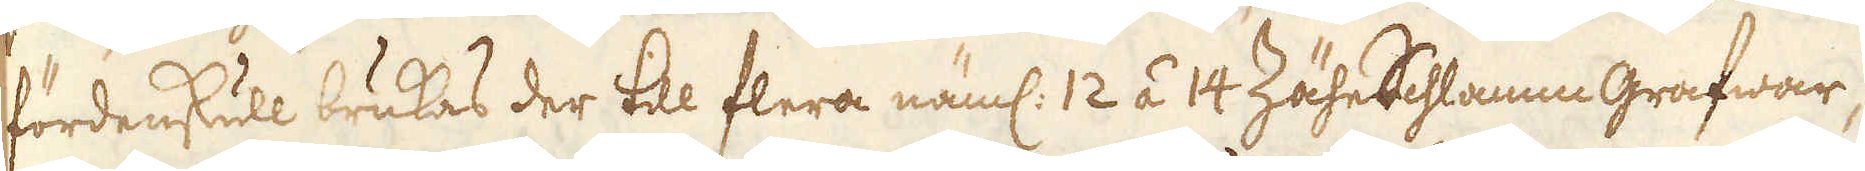fördenskull brukas der till flera näml: 12 á 14 ZäheSchlamm grafwar,
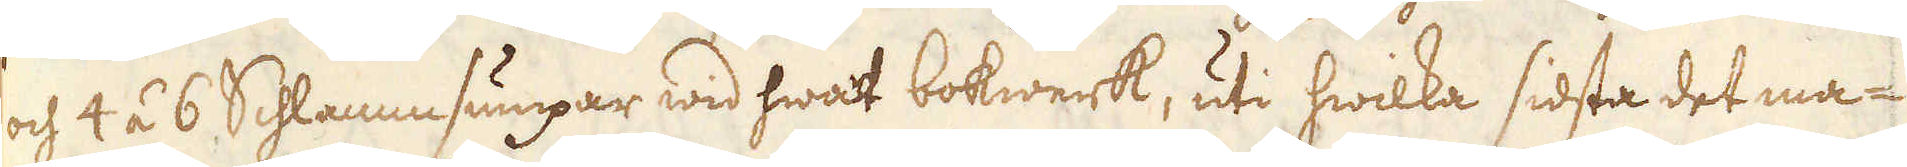och 4 á 6 Schlammsumpar wid hwart bokwerk, uti hwilka sidsta det ma-
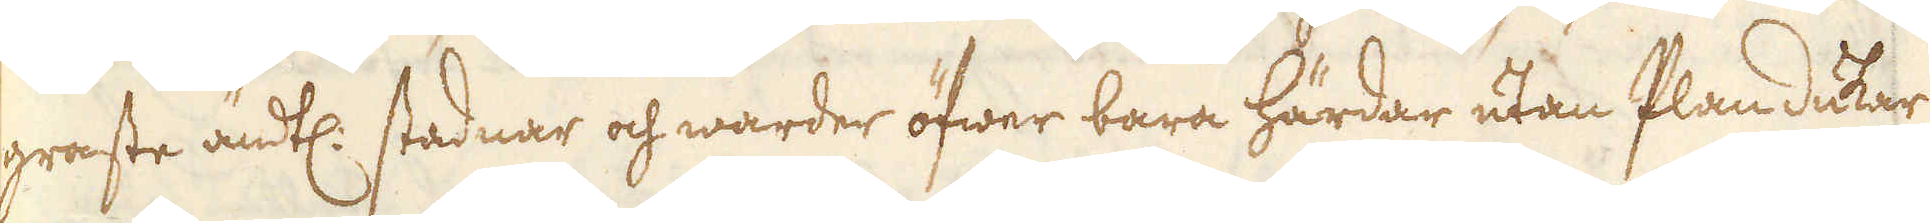graste ändtl: stadnar och warder öfwer bara härdar utan Plan dukar
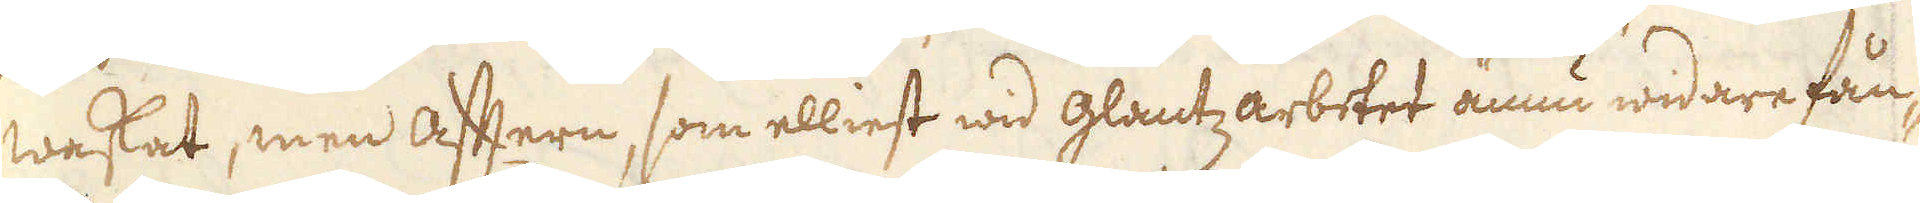waskat, men aftern, som elliest wid glantzarbetet ännu widare fån-
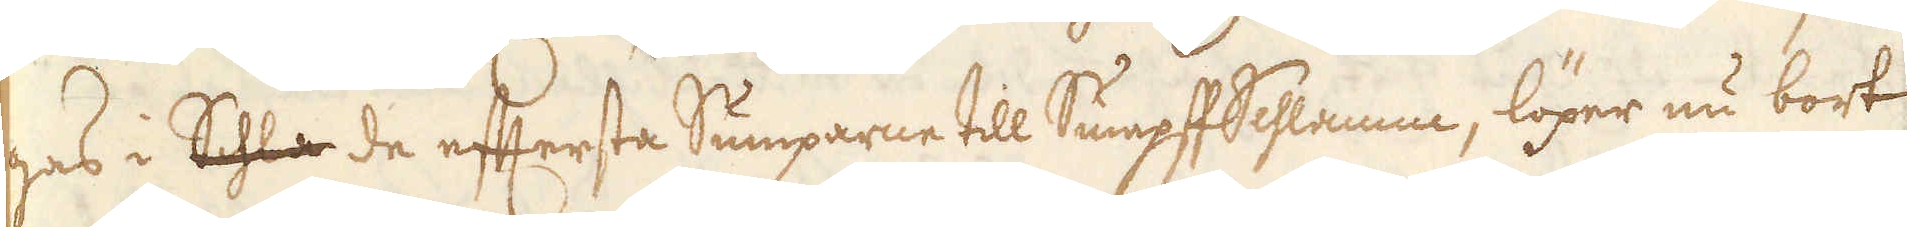gas i Schla de eftersta Sumparne till Sumpff Schlamm, löper nu bort
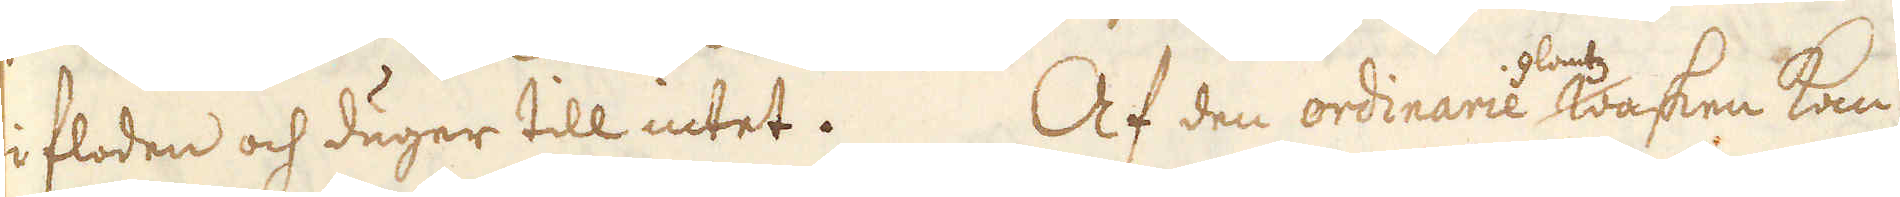i floden och duger till intet. Af den ordinarie glantzwasken kan
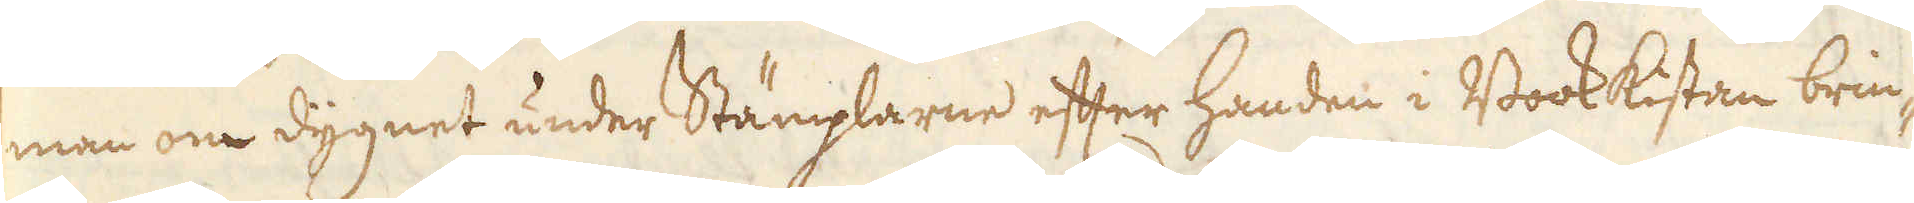man om dygnet under Stämplarne efter handen i Bookkistan brin-
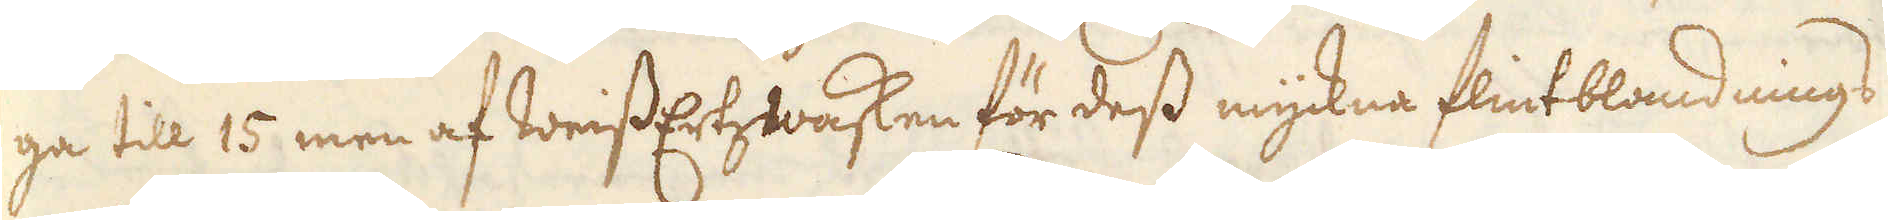ga till 15 men af WeissErtzwasken för dess myckna flintblandnings
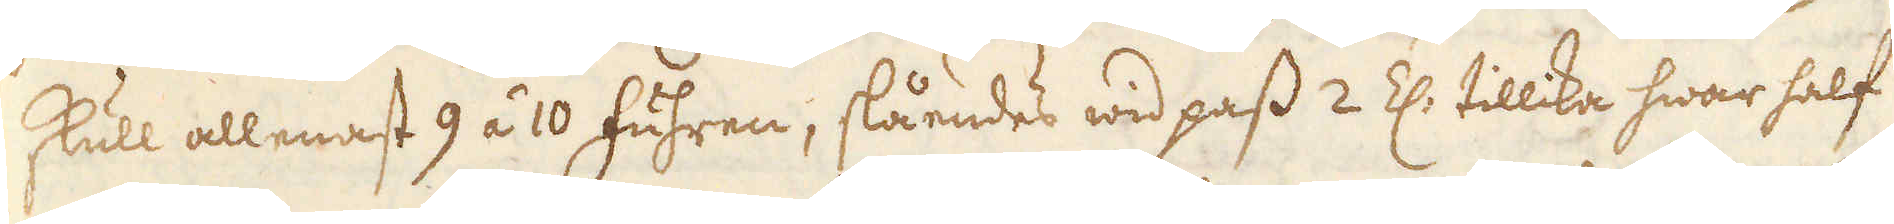skull allenast 9 á 10 fuhren, slåendes wid pass 2 Z: tillika hwar half
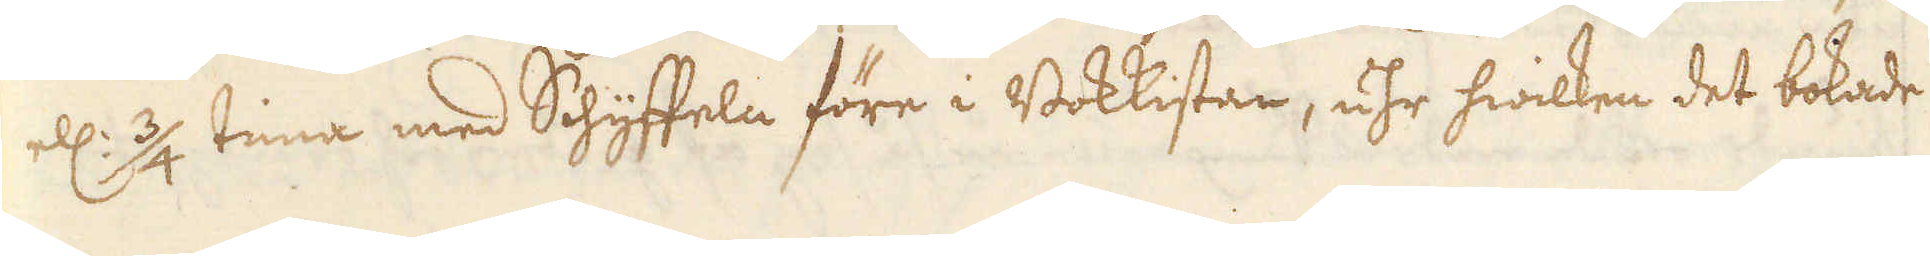ell: 3/4 tima med Schyffeln före i Bokkistan, uhr hwilken det bokade
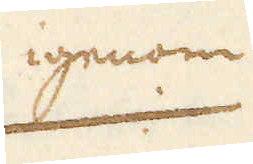igenom
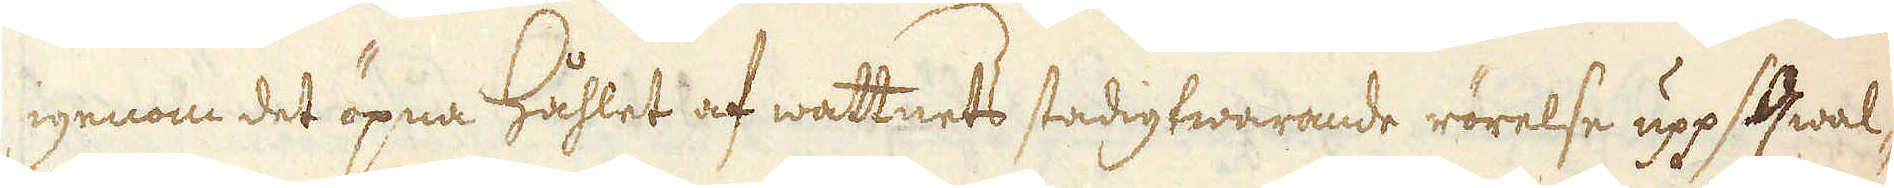igenom det öpna Håhlet af wattnets stadigtwarande rörelse uppsqwal-
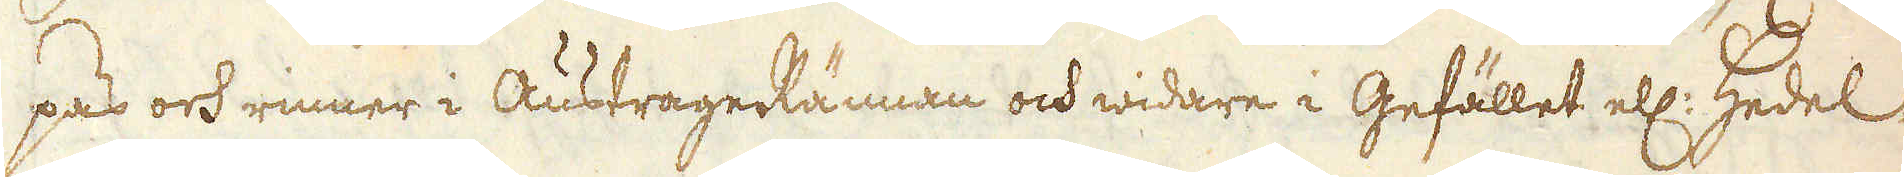pas och rinner i AustrageRännan och widare i Gefället ell: Hedel-
